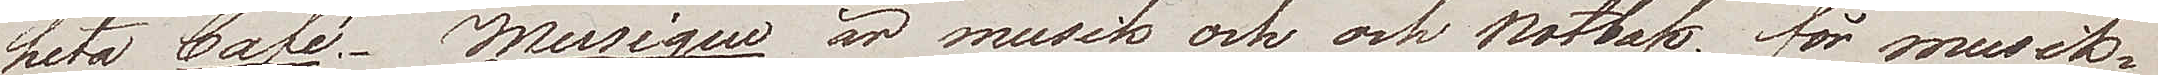heta Café. Musique är musik och och notbok, för musik¬
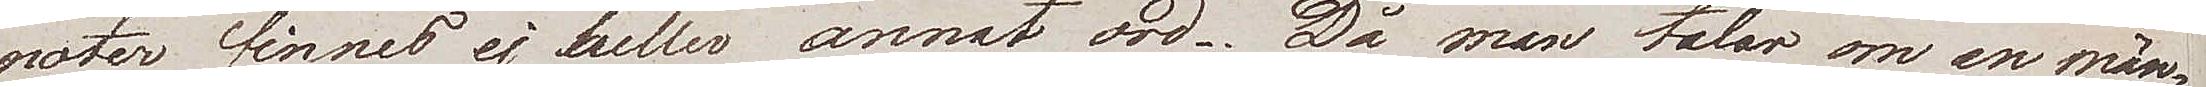noter finnes ej heller annat ord. Då man talar om en män¬
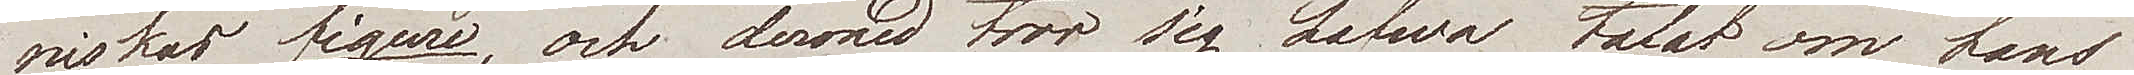niskas figure, och derwid tror sig hafwa talat om hans
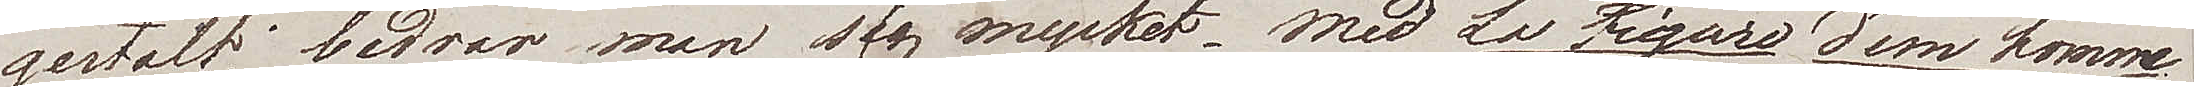gestalt, bedrar man sig mycket. Med La Figure d'un homme
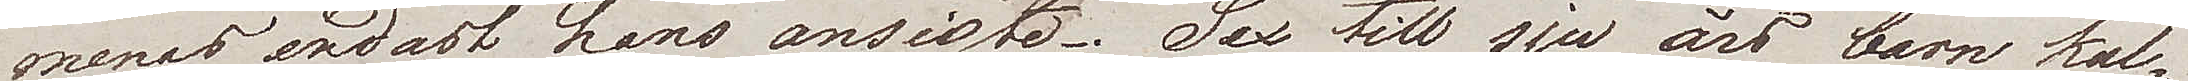menas endast hans ansikte. Sex till sju års barn kal¬
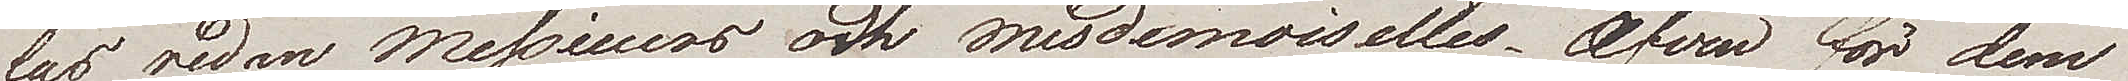las redan Messieurs och Mesdemoiselles. Äfven för dem
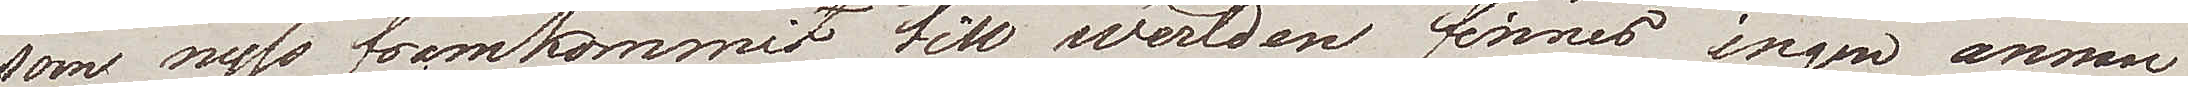som nyss framkommit till werlden finns ingen annan
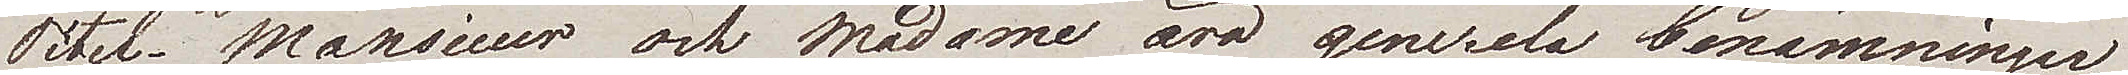Titel. Monsieur och Madame äro generela benämningar
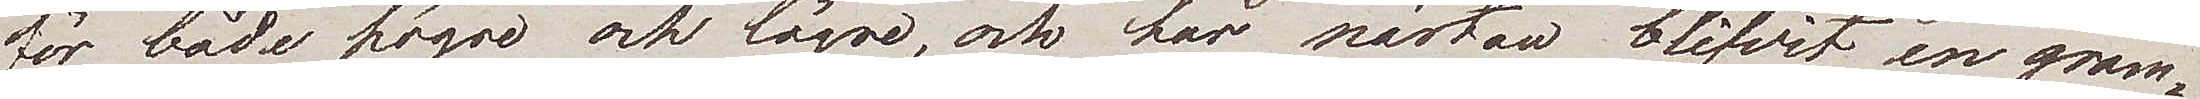för både högre och lägre, och har nästan blifvir en gram¬
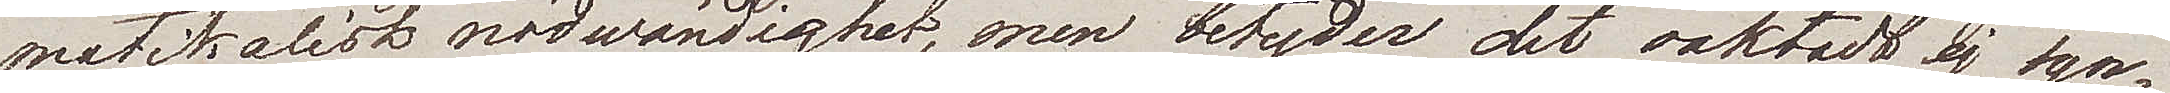matikalisk nödwändighet, men betyder det oaktadt ej syn¬
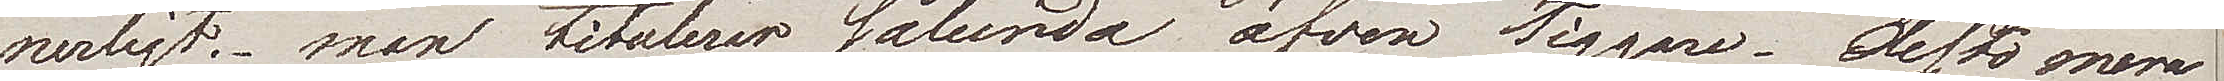nerligt.– man titulerar sålunda äfven Tiggare. Desto mera
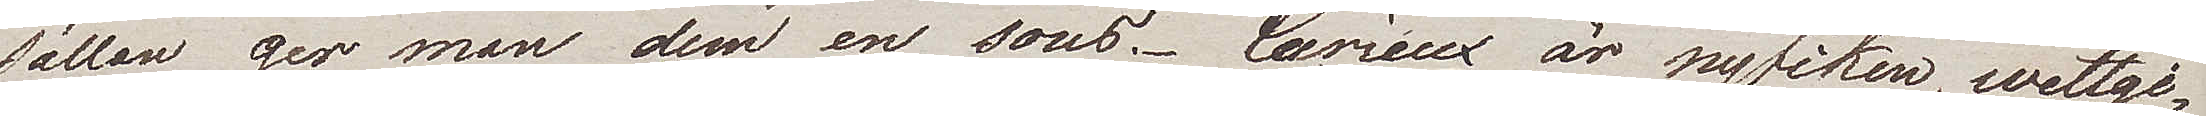sällan ger man dem en sous. Curieux är nyfiken, wetgi¬
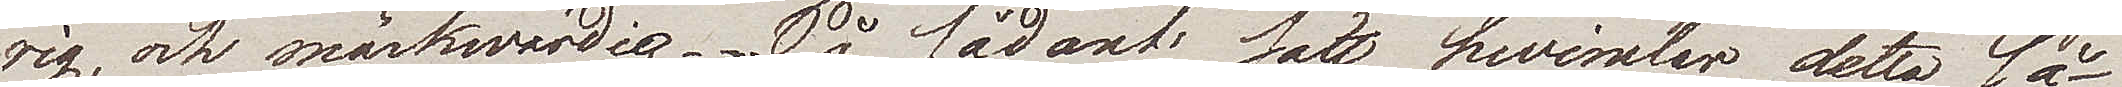rig och märkwärdig. På sådant sätt hwimlar detta så
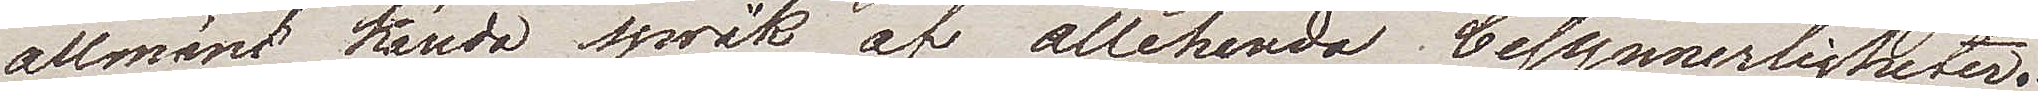allmänt kända språk af allahanda besynnerligheter.
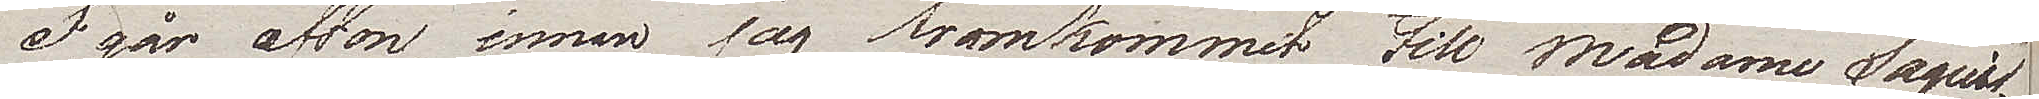Igår afton, innan jag framkommit till Madame Saquis
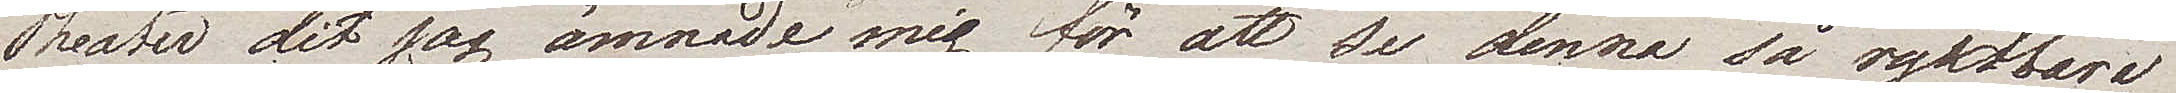Theater dit jag ämnade mig för att se denna så ryktbara
